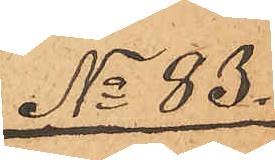No 83.
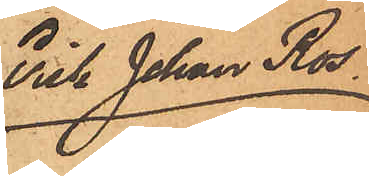Erik Johan Ros
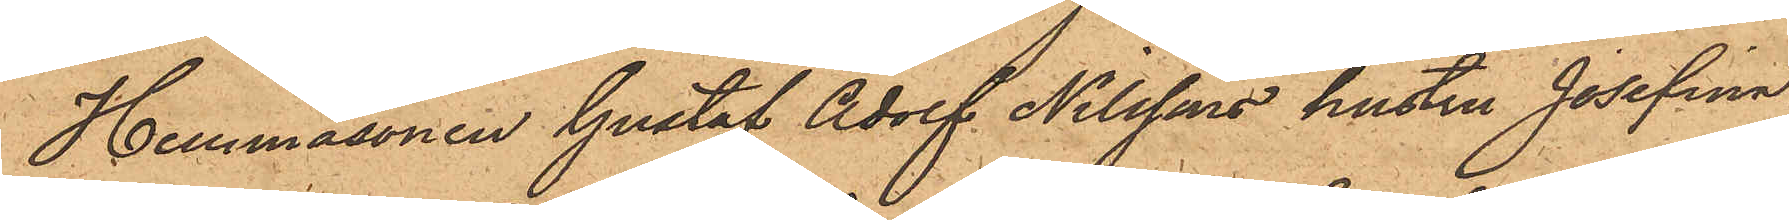Hemmasonen Gustaf Adolf Nilssons hustru Josefina
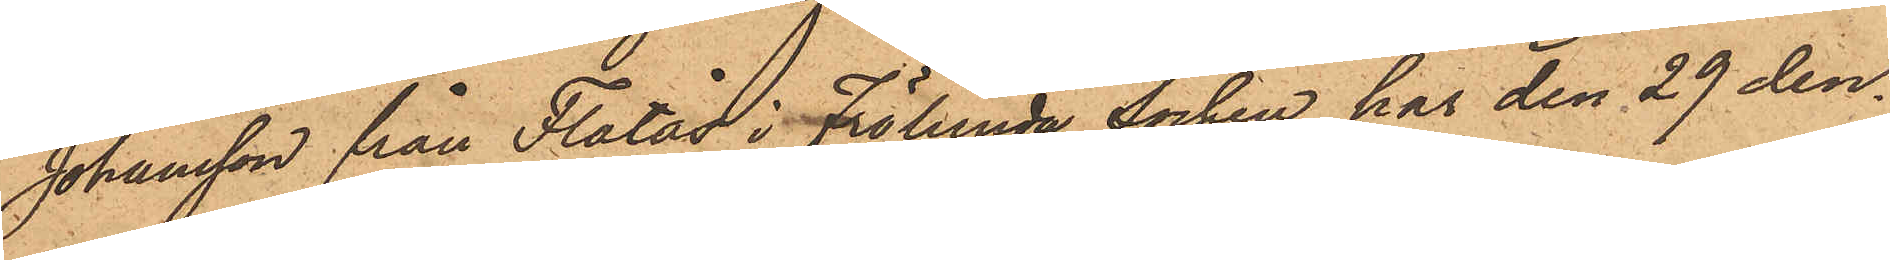Johansson från Flatås i Frölunda socken har den 29 den¬
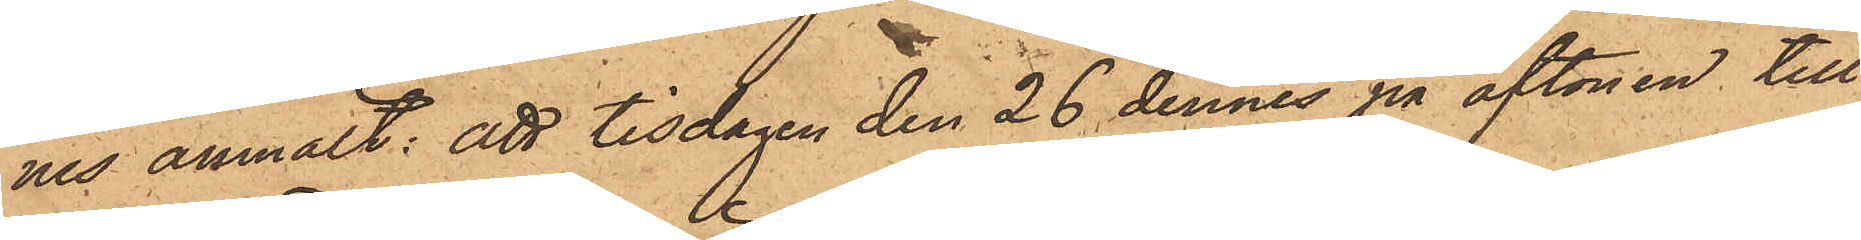nes anmält: att tisdagen den 26 dennes på aftonen till
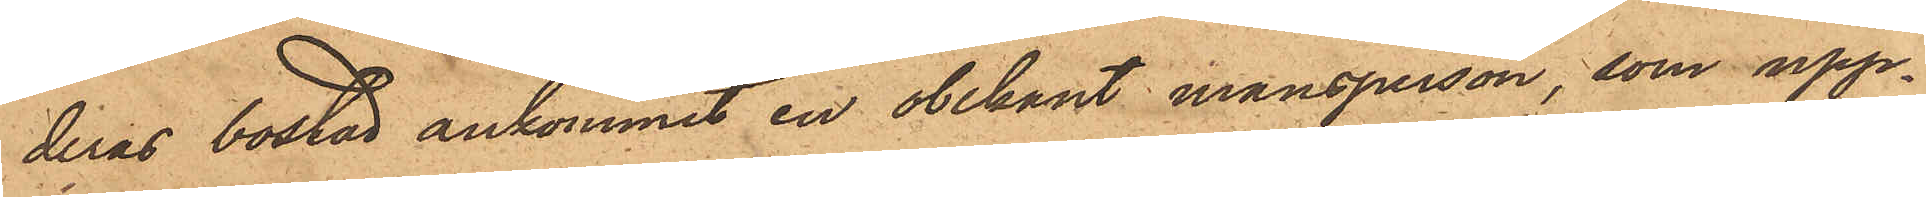deras bostad ankommit en obekant mansperson, som upp¬
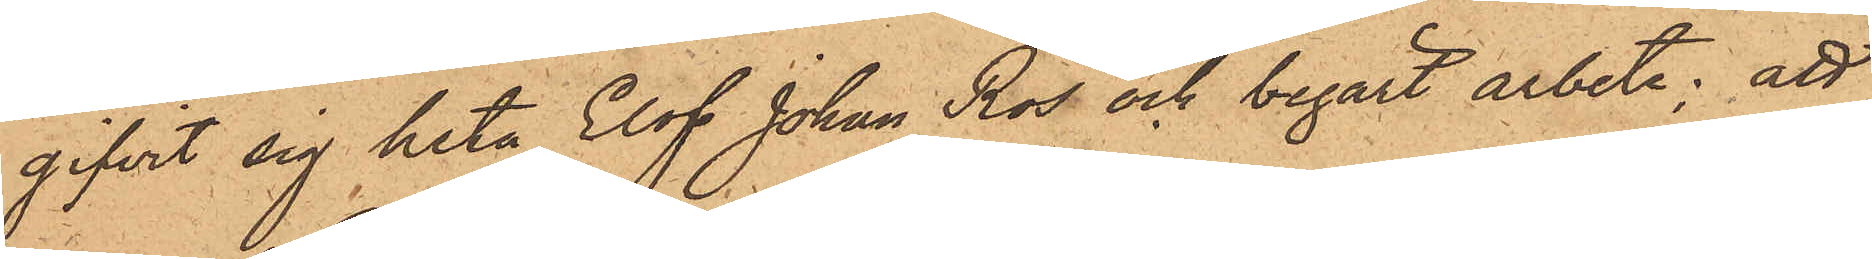gifvit sig heta Elof Johan Ros och begärt arbete; att
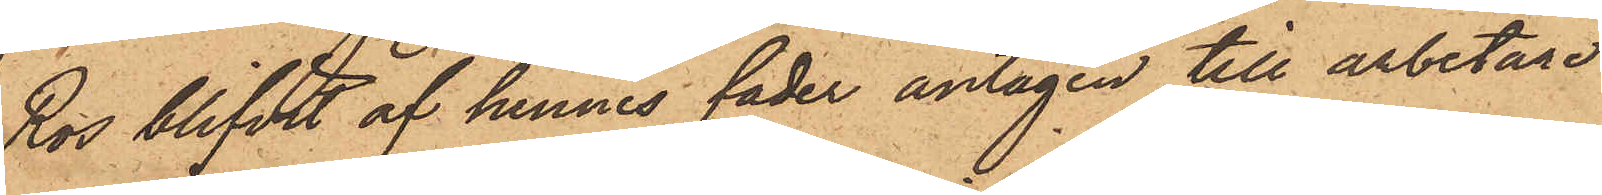Ros blifvit af hennes fader antagen till arbetare
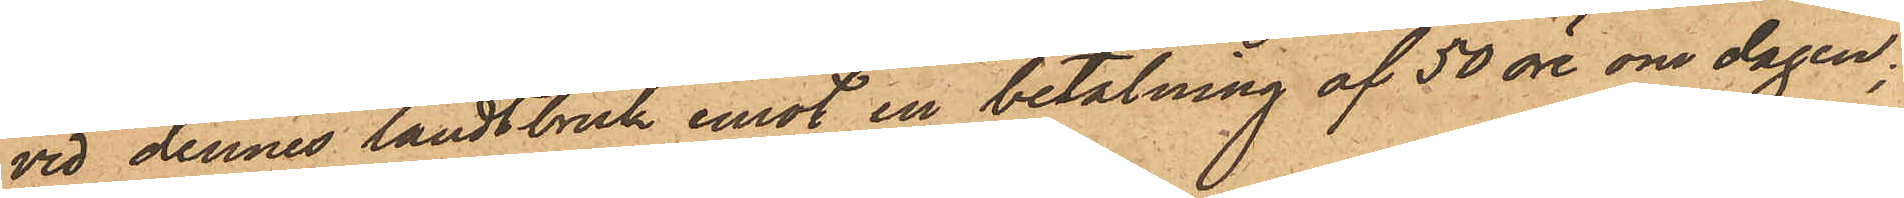vid dennes landtbruk emot en betalning af 50 öre om dagen;
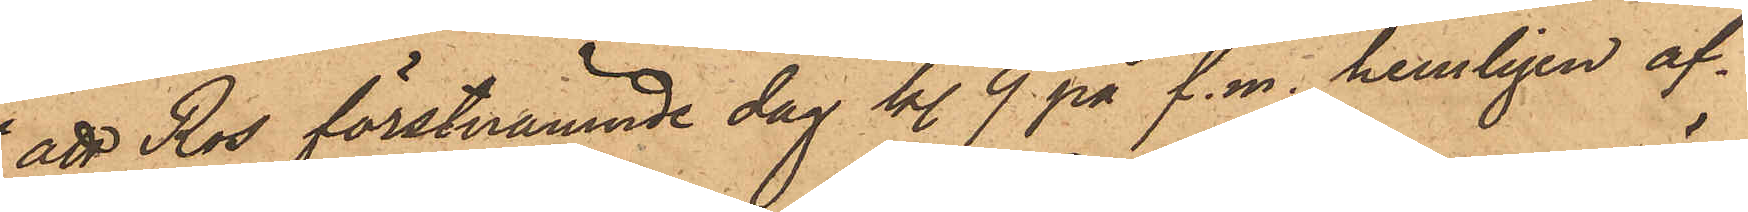att Ros förstnämnde dag kl. 9 på f. m. hemligen af¬
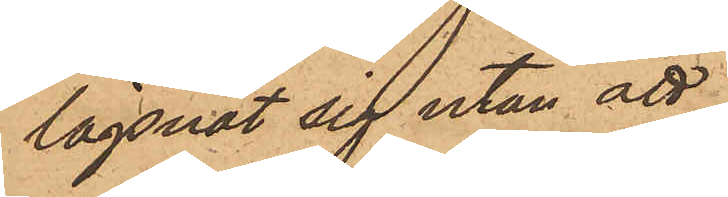lägsnat sig utan att
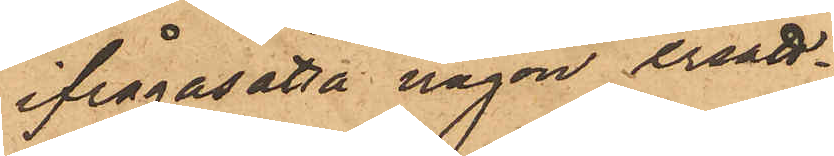ifrågasatta någon ersätt¬
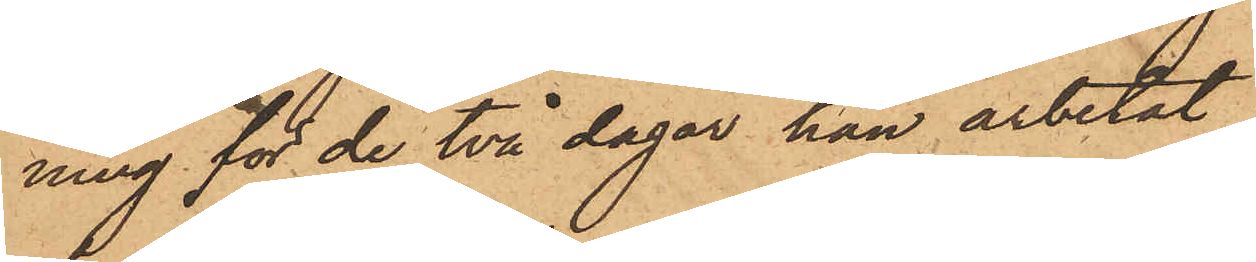ning för de två dagar han arbetat
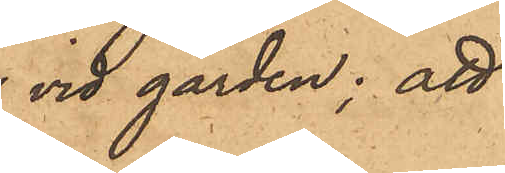vid gården; att
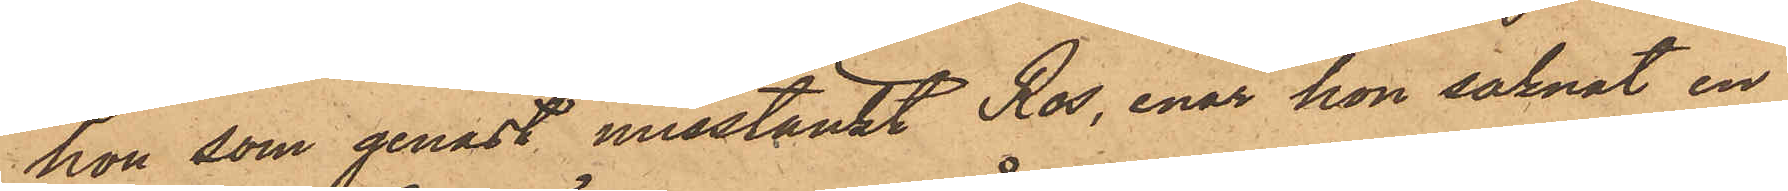hon, som genast misstänkt Ros, enär hon saknat en
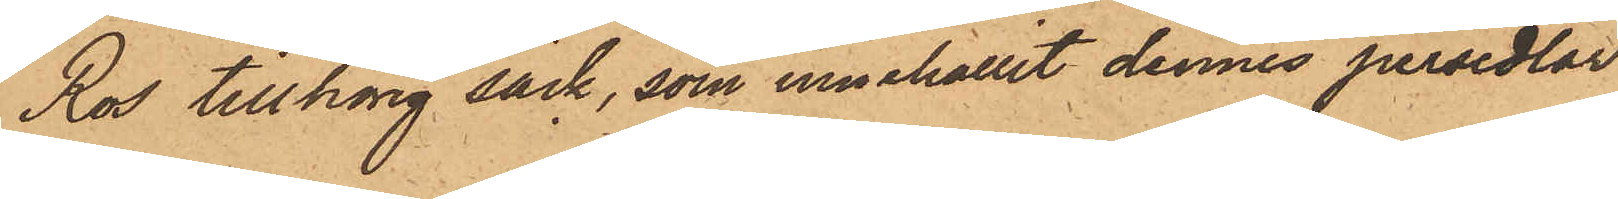Ros tillhörig säck, som innehållit dennes persedlar
